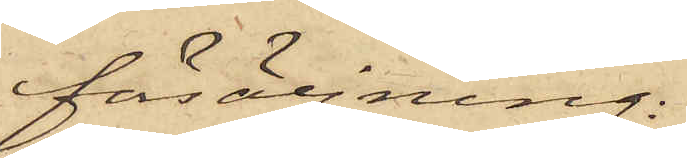fösäljning:
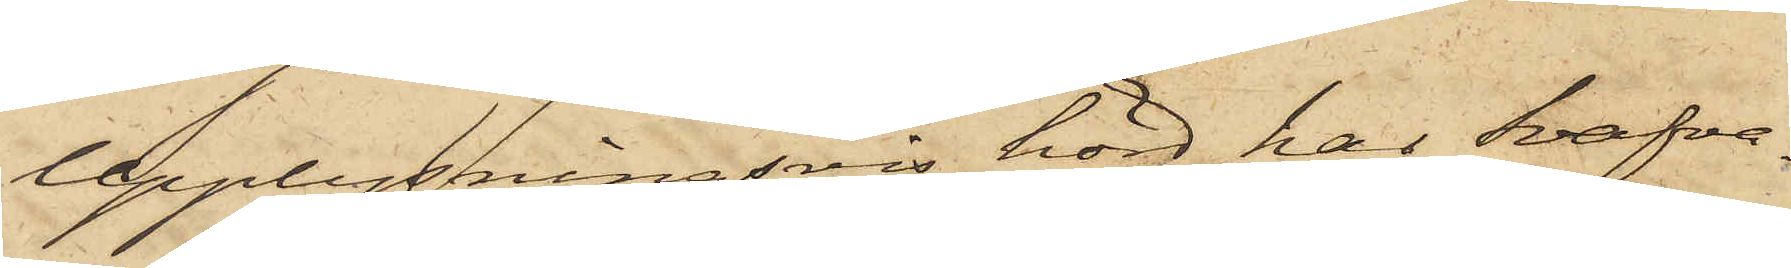Upplysningsvis hörd har Svafva¬
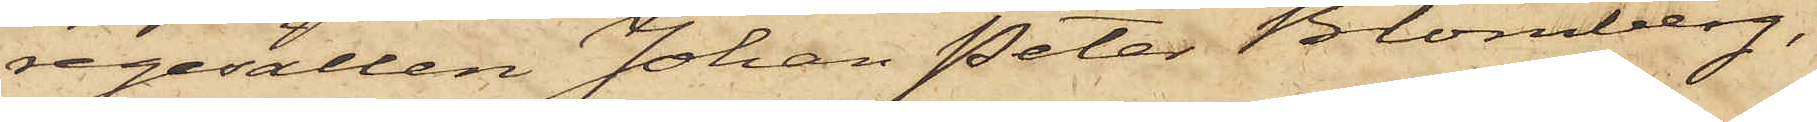regesällen Johan Peter Blomberg,
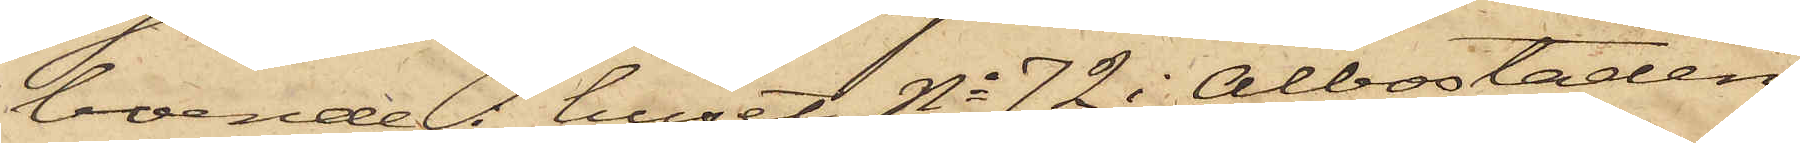boende i huset No 72 i Albostaden
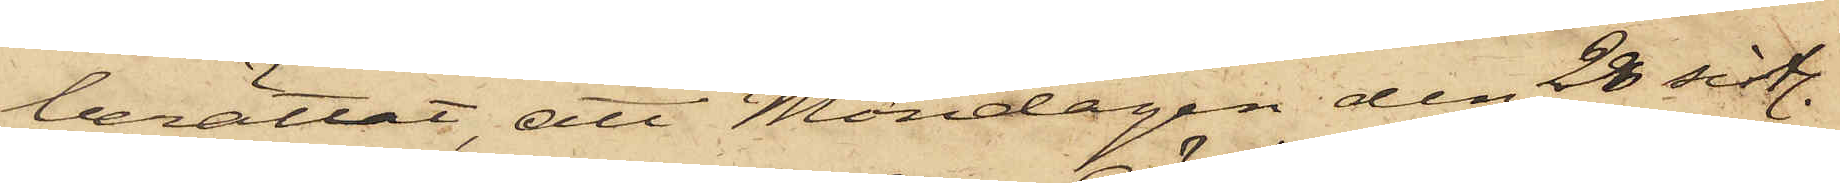berättat, att Måndagen den 28 sistl.
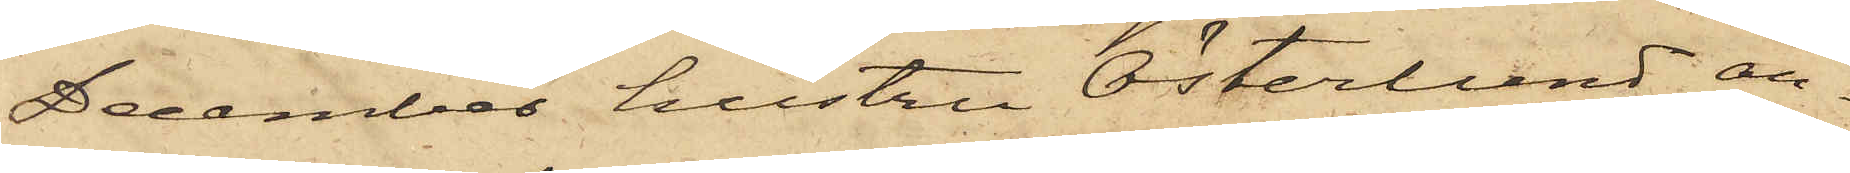December hustru Österlund an¬
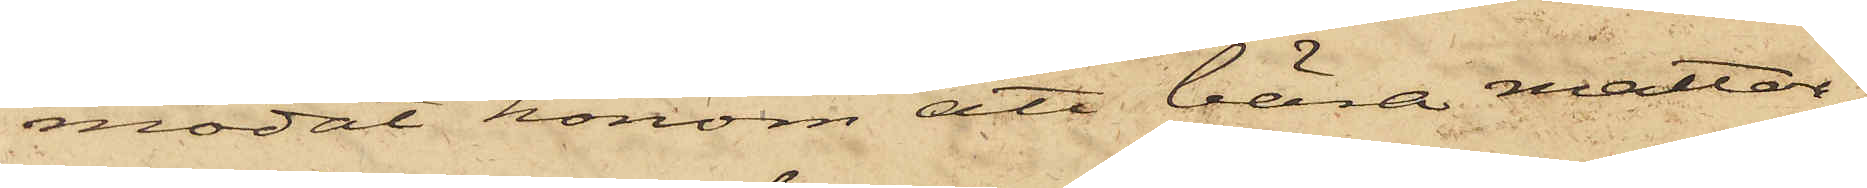modat honom att bära mattor¬
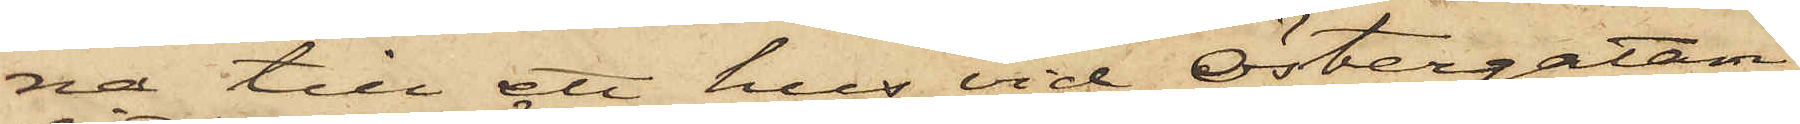na till ett hus vid Östergatan,
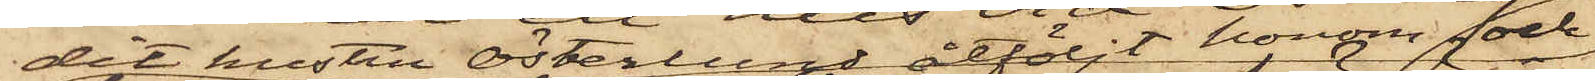dit hustru Österlund åtföljt honom och
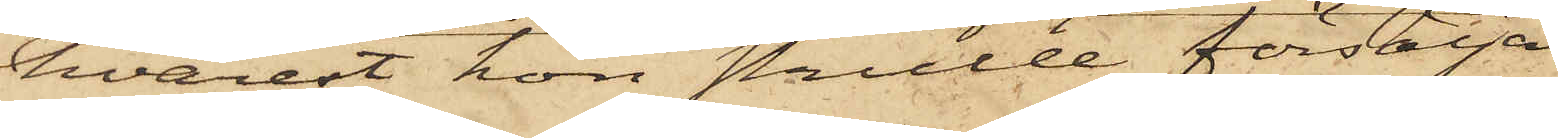hvarest hon skulle försälja
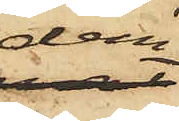dem
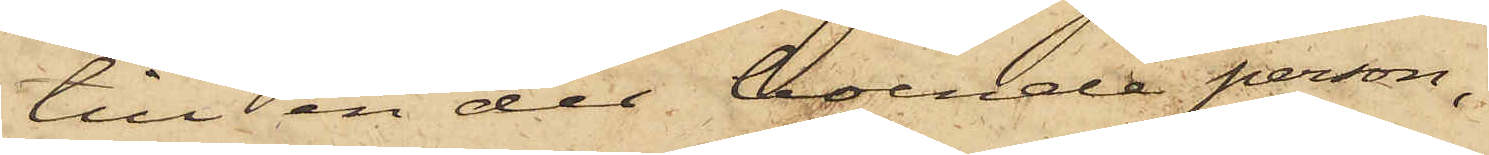till en der boende person,
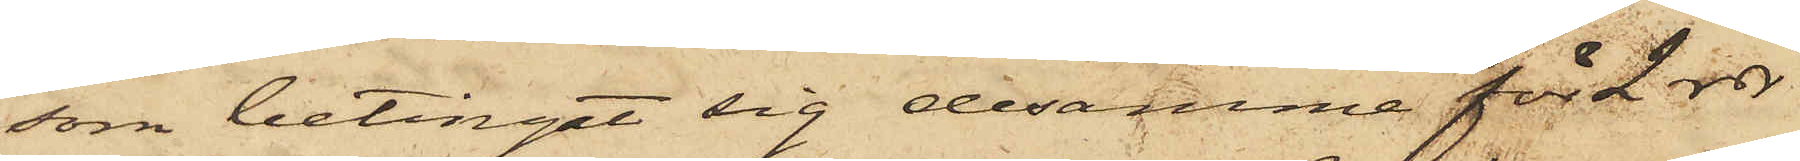som betingat sig desamma för 2 rdr
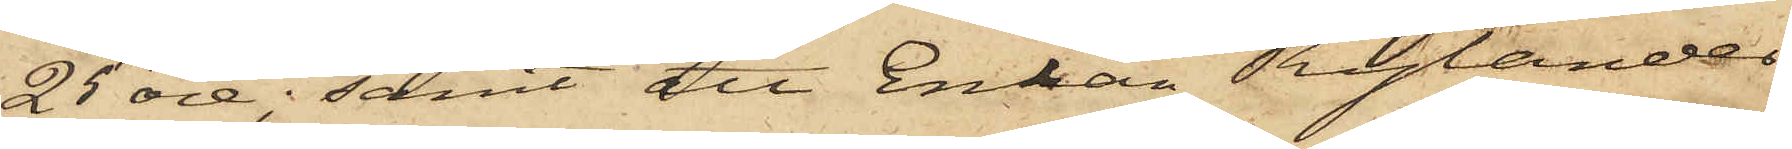25 öre; samt att Enkan Rylander
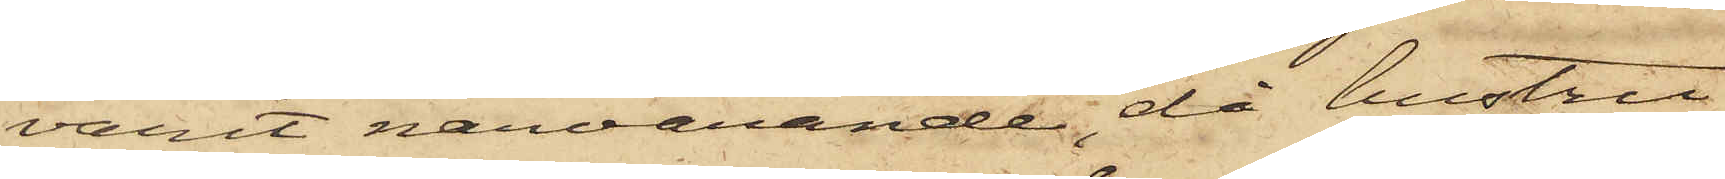varit närvarande, då hustru
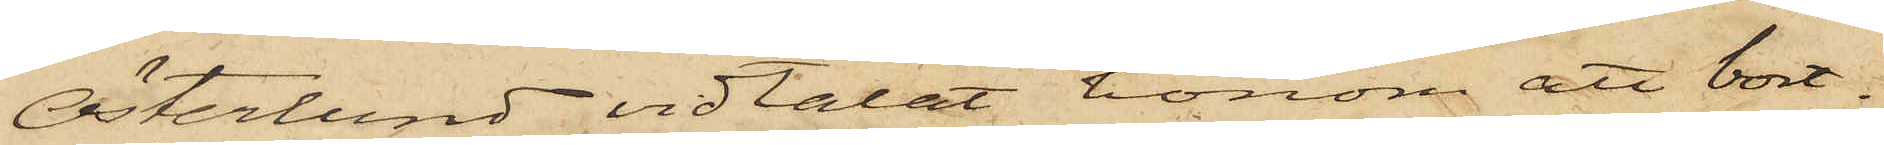Österlund vidtalat honom att bort¬
